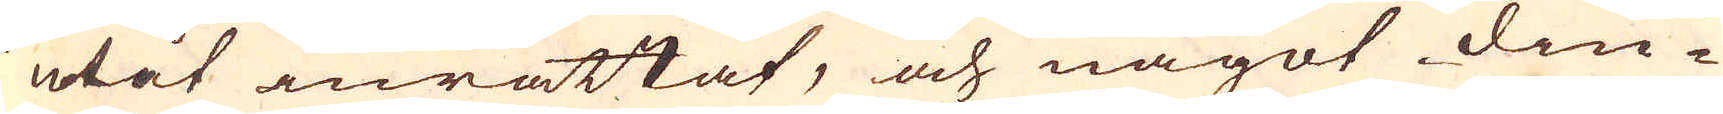utåt inrättat, och något diu-
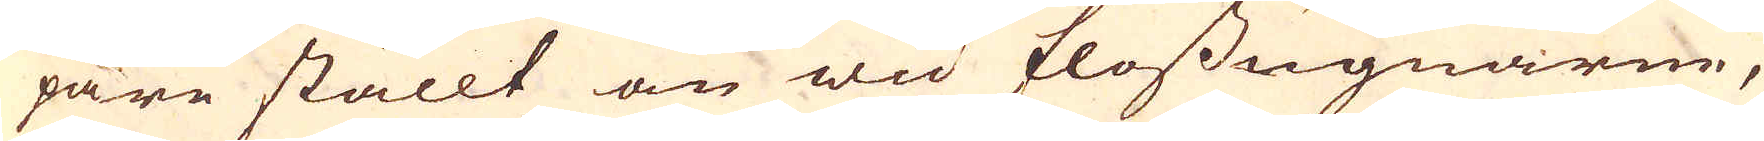pare ställt än wid flossugnarne,
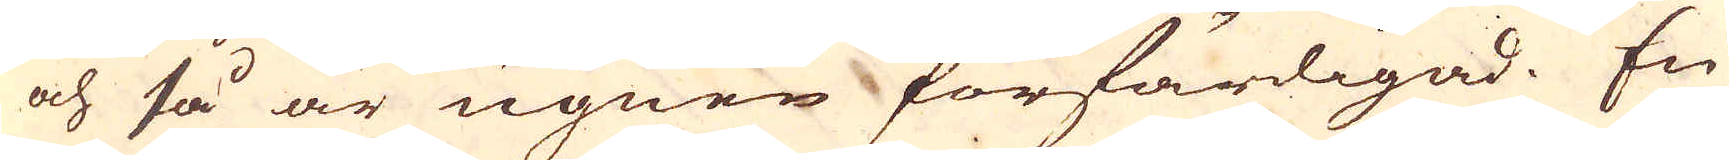och så är ugnen förfärdigad. En
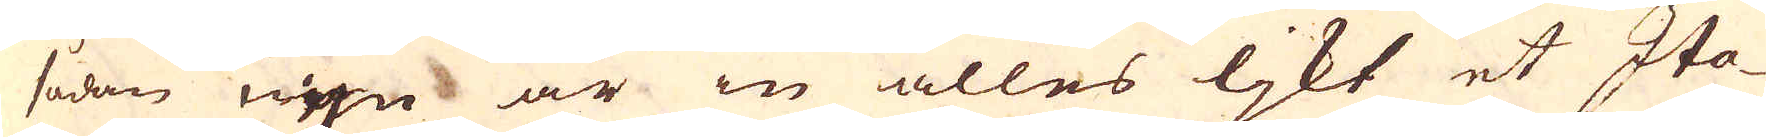sådan ugn är in alles ljkt et Ita-
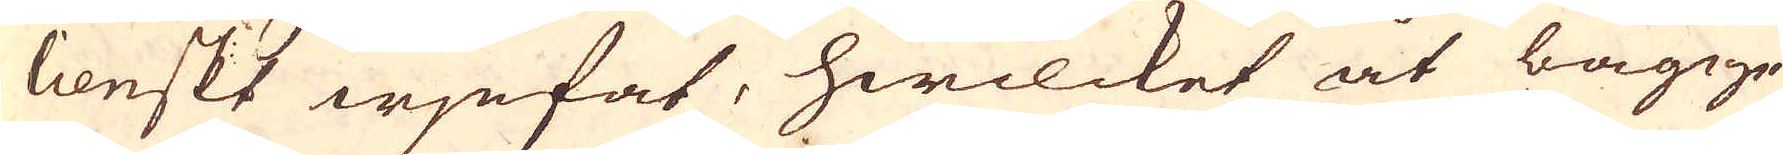lienskt wjnfat, hwilcket åt bägge
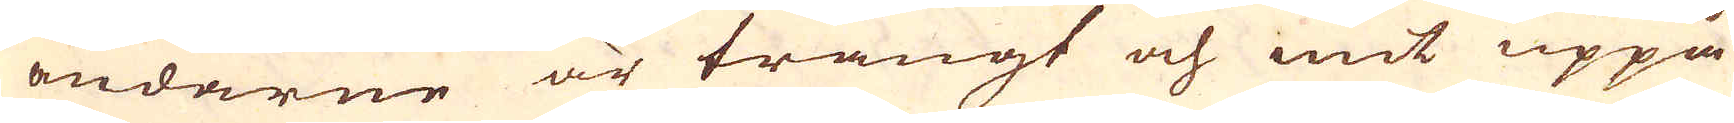ändarne är trångt och mint uppå
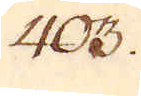403.
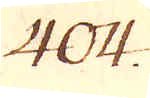404.
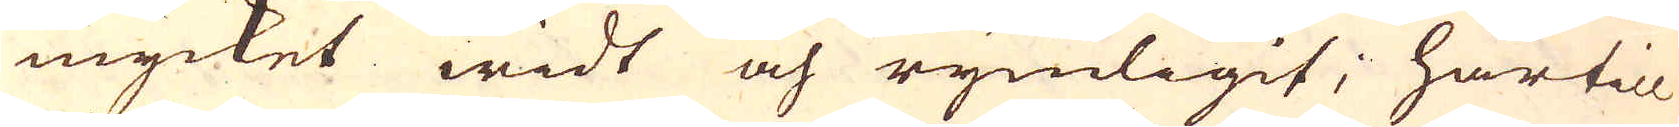mycket widt och rymligit; härtill
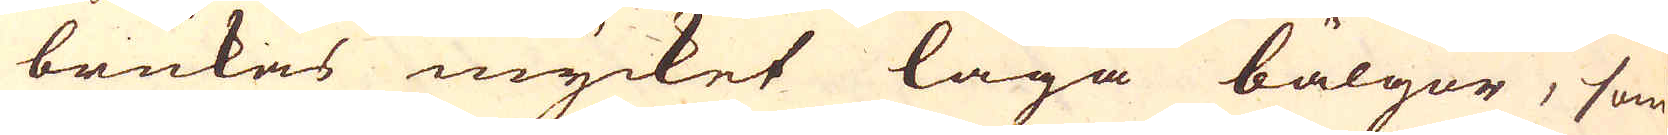brukas mycket låga bälgor, som
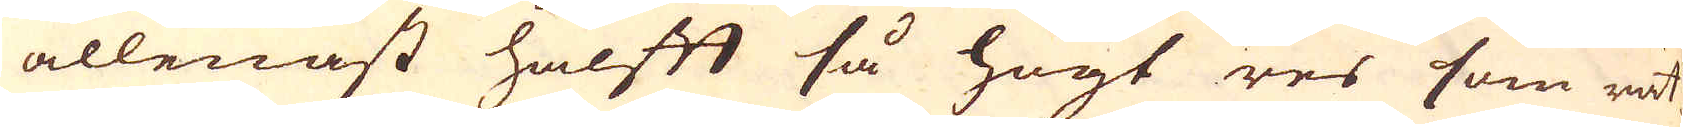allenast halfft så högt res som rät-
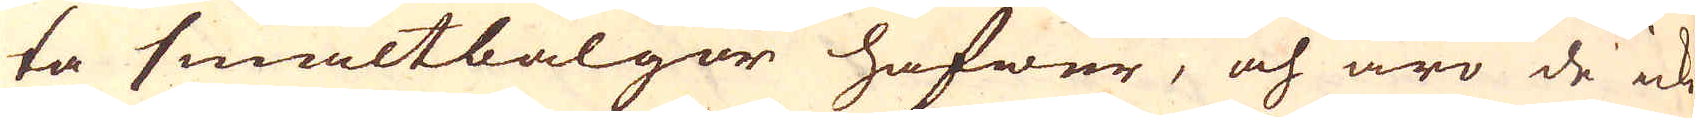ta smältbalgor hafwer, och äro de icke
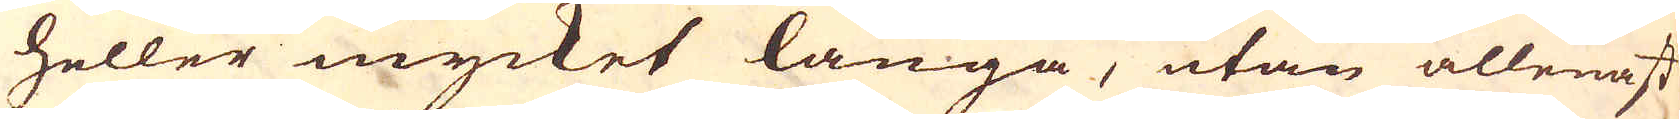heller mycket långa, utan allenast
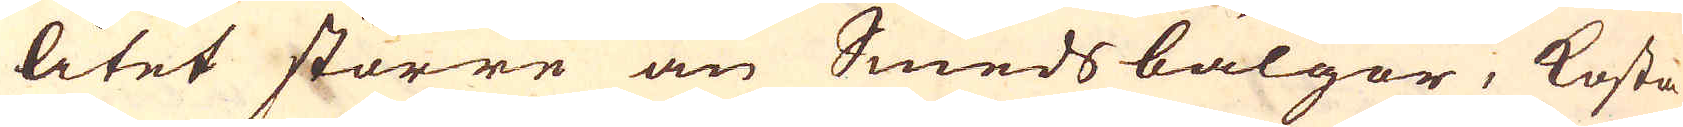litet större än Smedsbälgor, kosta
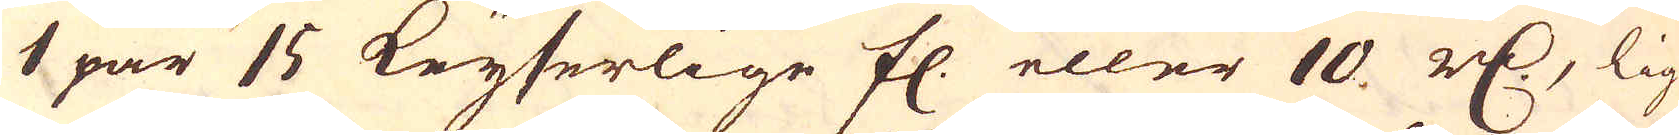1 par 15 Keyserlige fl. eller 10. r:dr, lig-
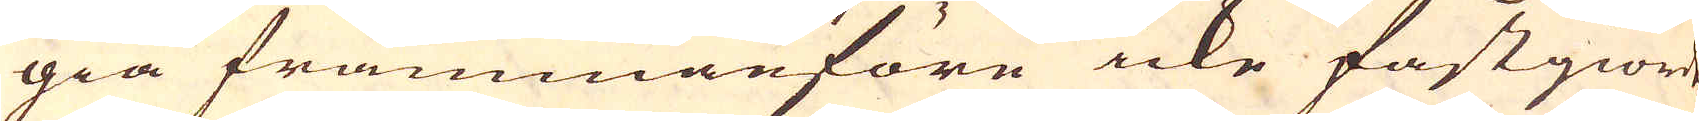gia frammanföre icke fastgiorde,
